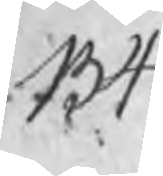134
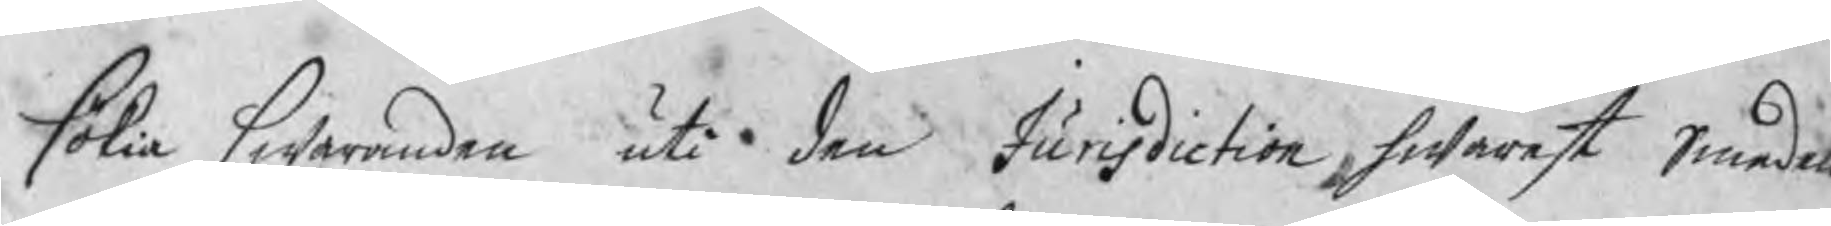sökia swaranden uti den Jurisdiction hwarest Smeden
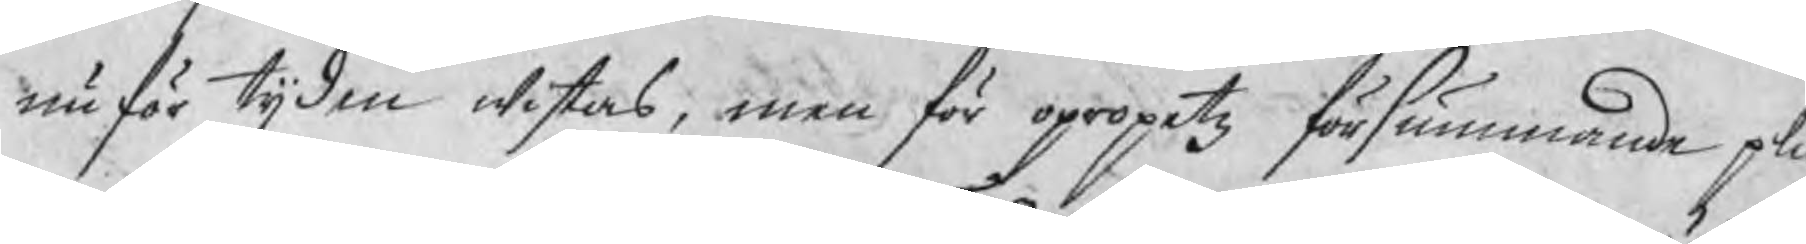nu för tijden wistas, men föropropetz försmmande plic
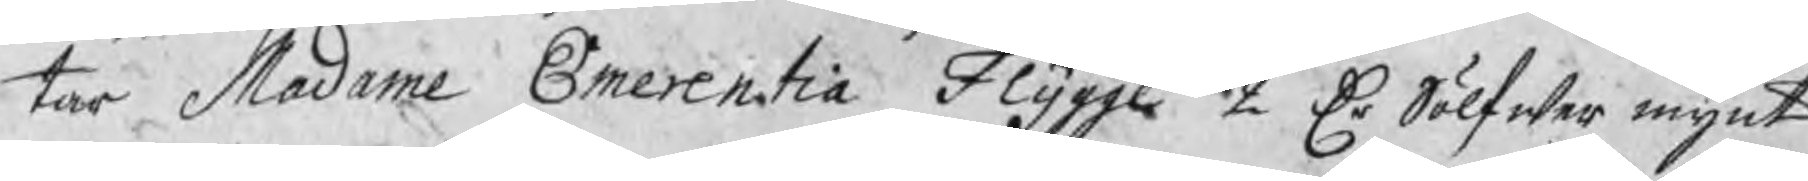tar Madame Emerentia Flygge 2 Dr Sölfwer mynt 
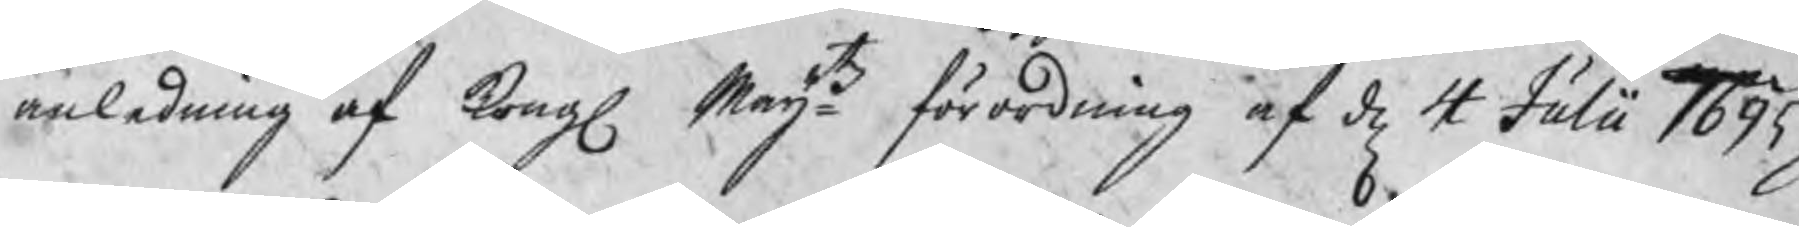anledning af Kongl. Maijtz förordning af d 4 Julii 1695.
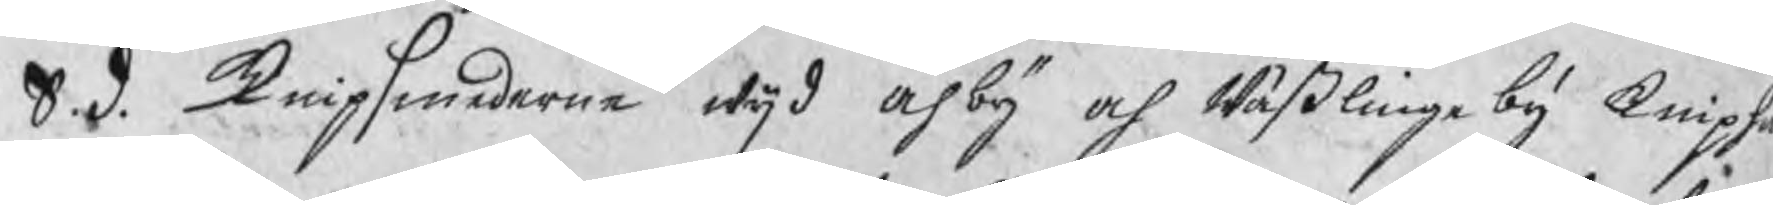S. d. knipsmederne wijd Åhby och Wäßlinge by knipha
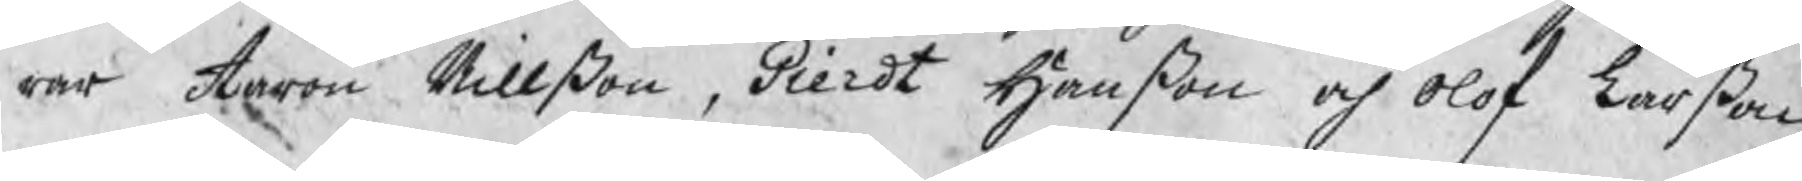rar Aaron Nillßon, Gierdt Hanßon och Olof Larßon
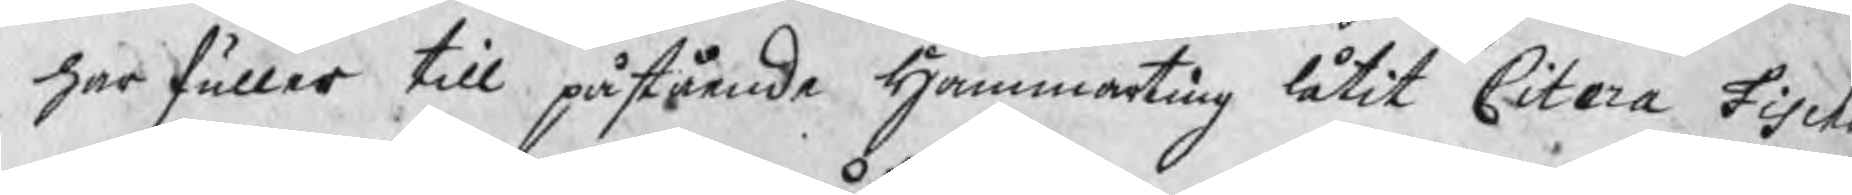har fuller till påstående Hammarting låtit Citera Fisc
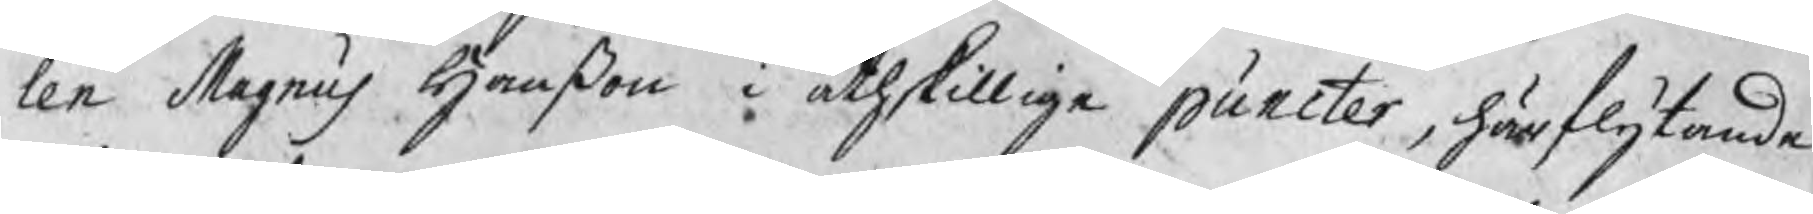len Magus Hanßon i åthskillige puncter, härflytande
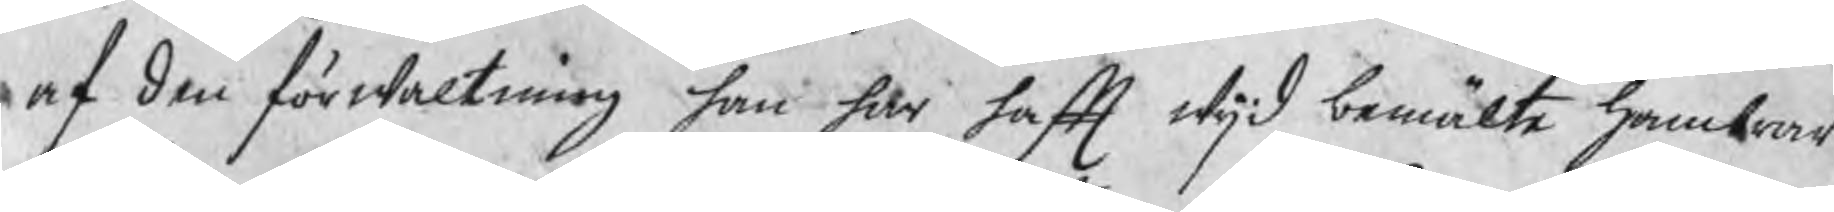af den förwaltning han här haft wijd bemälte hambrar
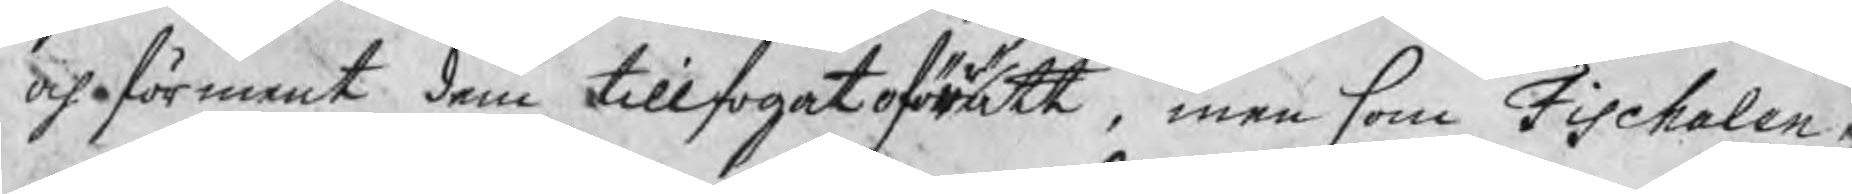och oförment dem tillfogat oförrätt, men som Fischalen e
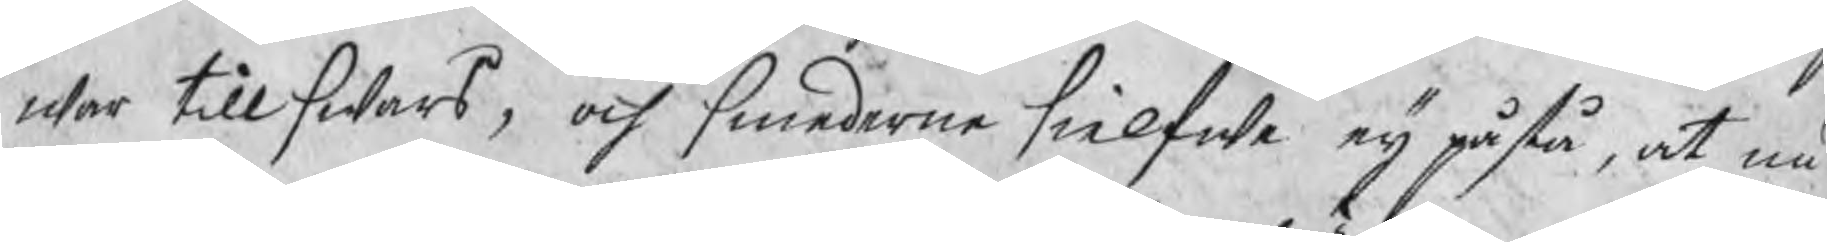war tillswars, och smederne sielfwe eij påstå, at nu
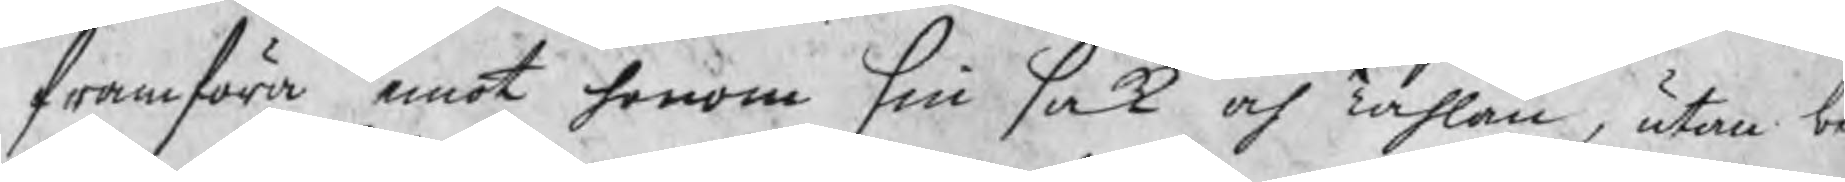framföra emot honom sin sak och Tahlan, utan b
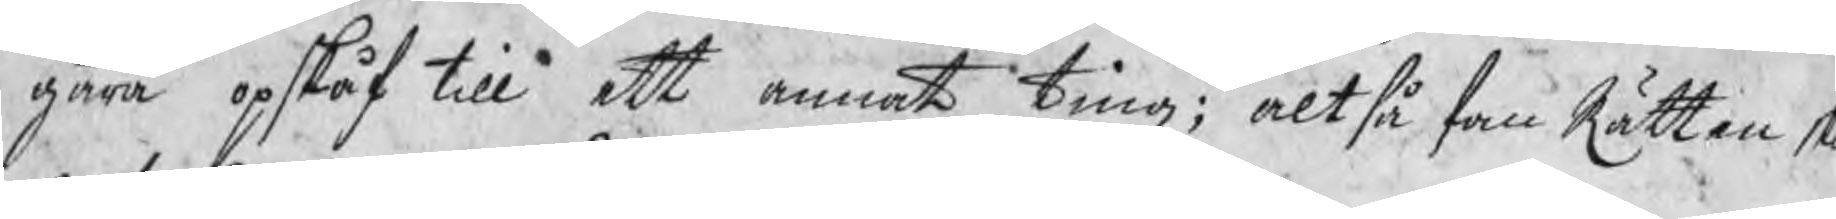gära opskåf till ett annat ting; altså fan Rätten sk
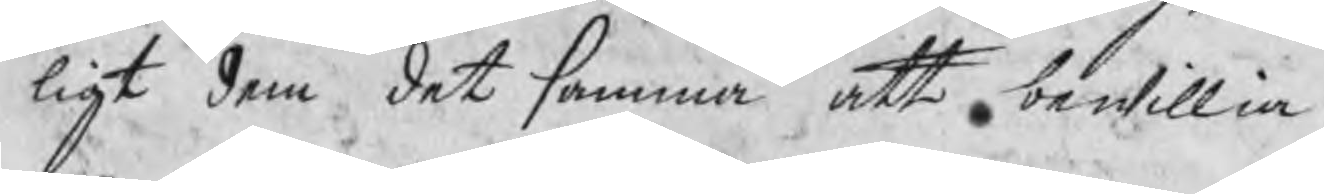ligt dem det samma att bewillia.
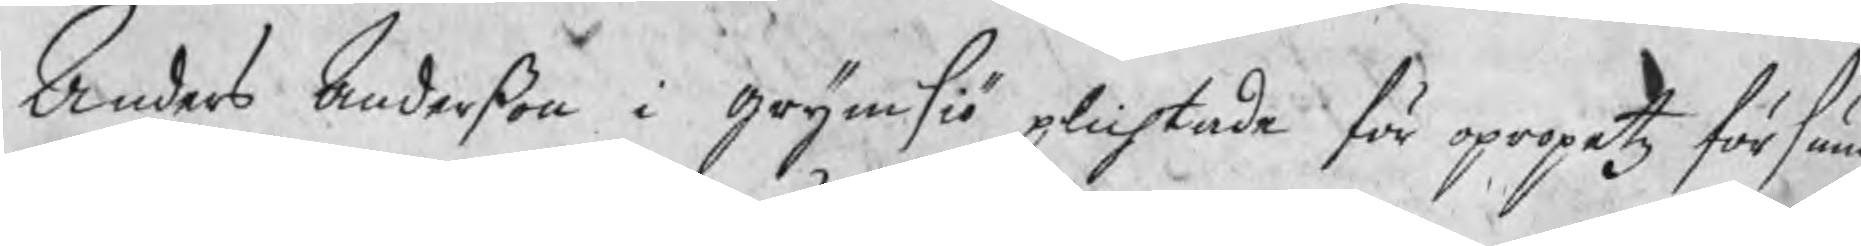Anders Anderßon i grönsiö plichtade för opropetz försum
